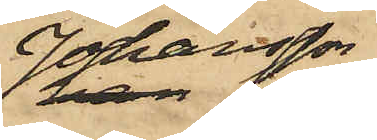Johansson
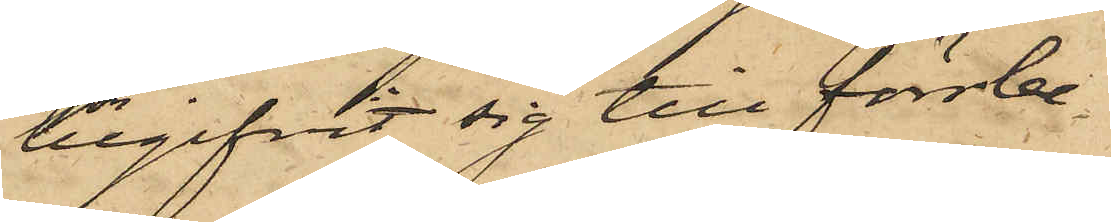begifvit sig till förrbe¬
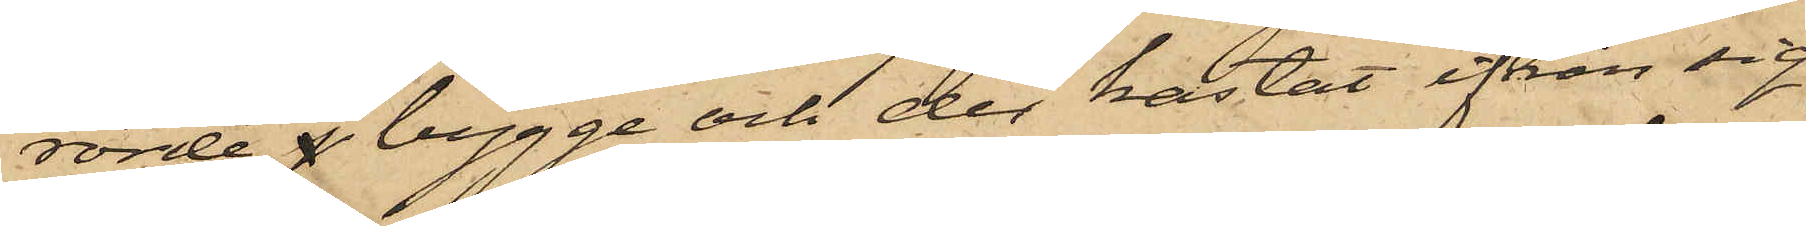rörde j bygge och der kastat ifrån sig
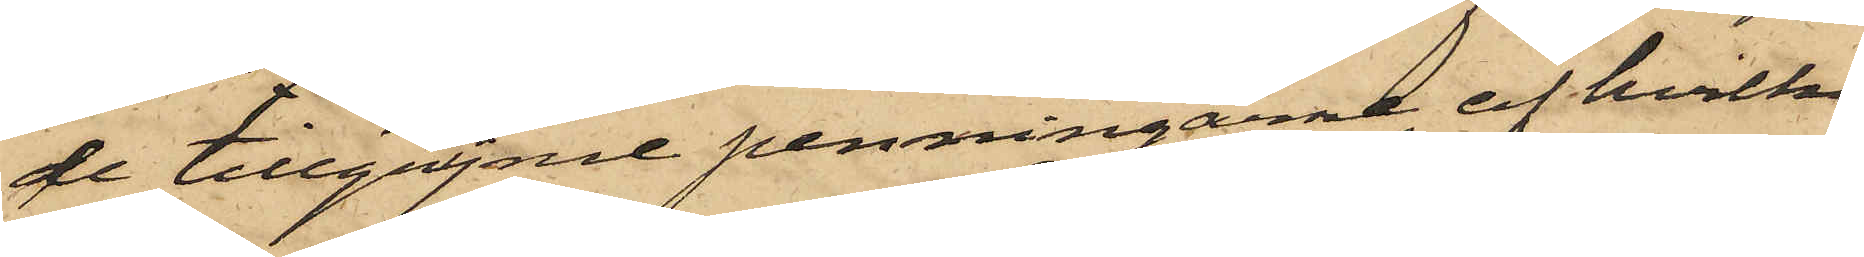de tillgripne penningarne, af hvilka
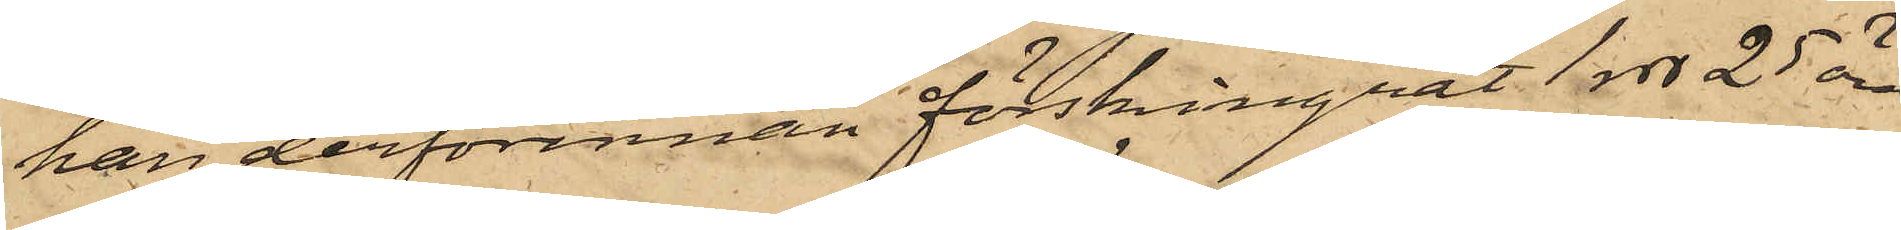han derförinnan förskingrat 1 rdr 25 öre
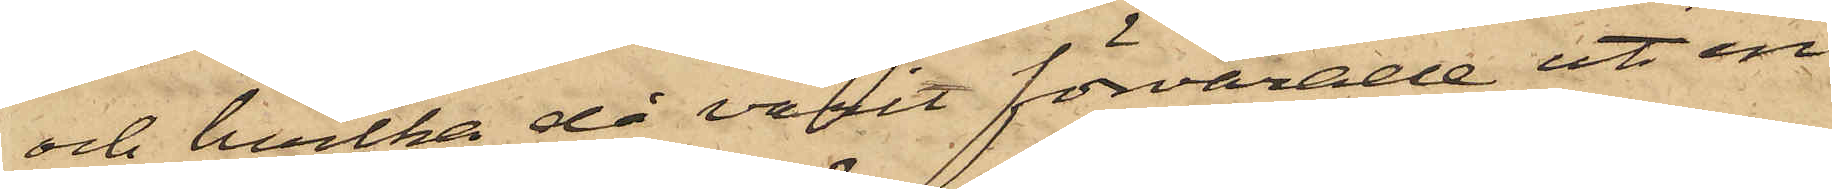och hvilka då varit förvarade uti en
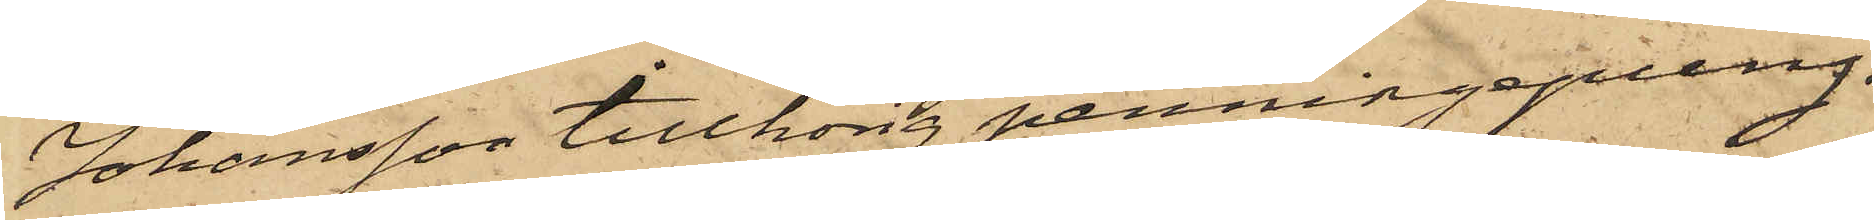Johansson tillhörig penningapung.
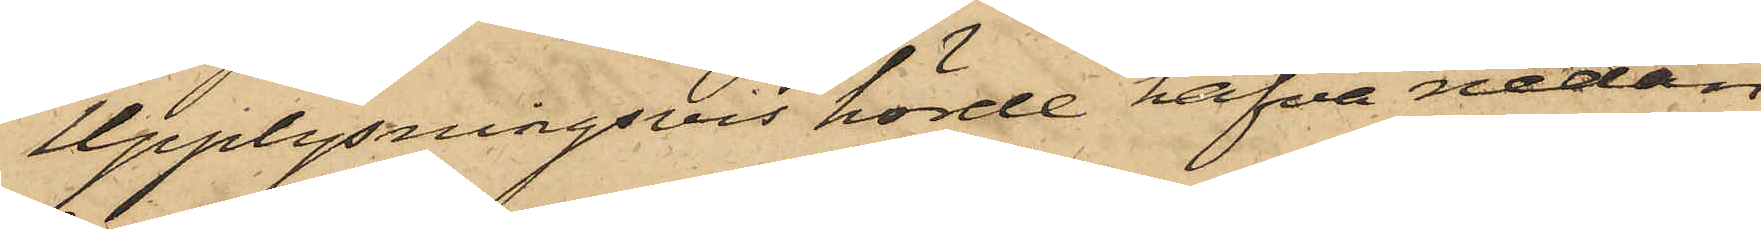Upplysningsvis hörde hafva nedan
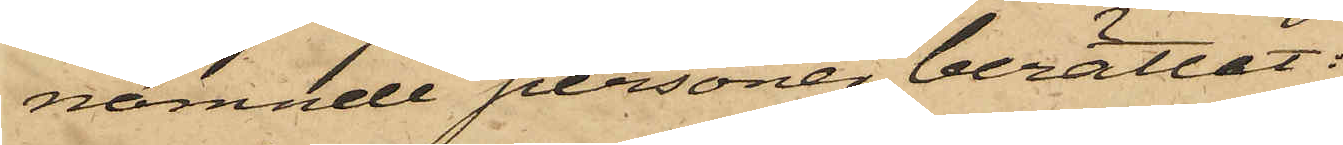nämnde personer berättat:
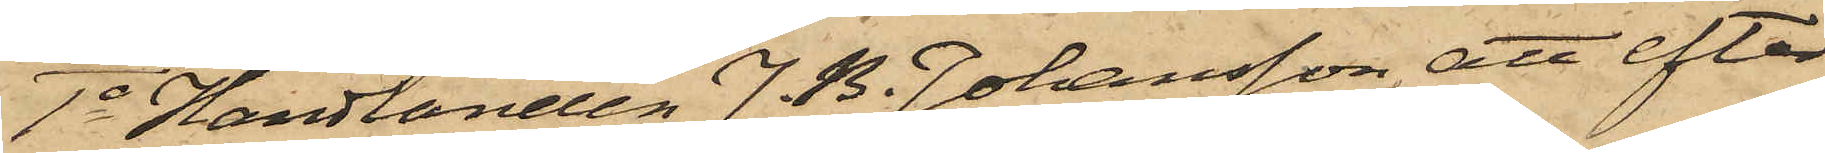1o Handlanden J. B. Johansson, att efter
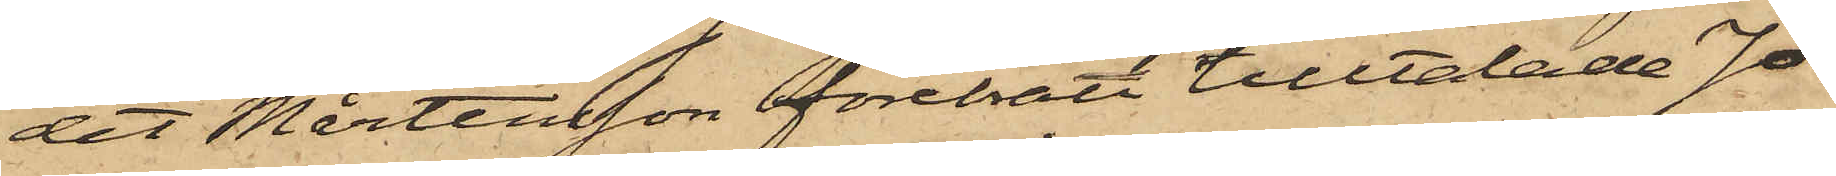det Mårtensson förebrått tilltalade Jo¬
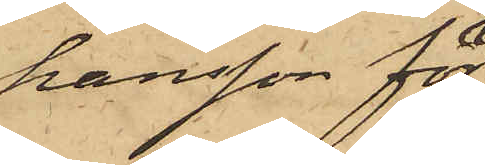hansson för
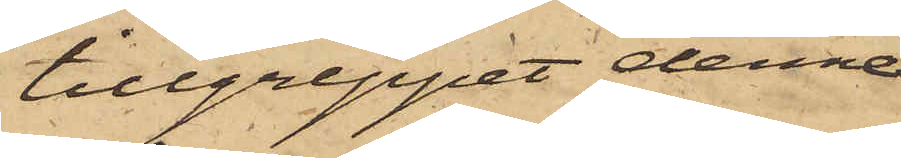tillgreppet denne
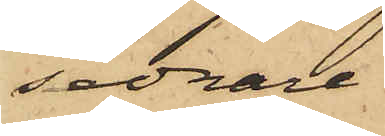sednare
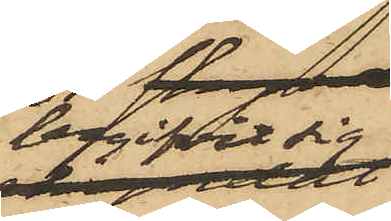begifvit sig
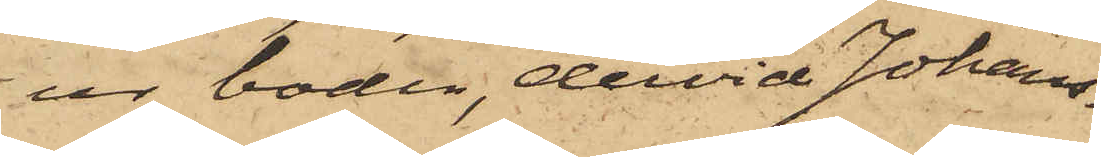ur boden, dervid Johans¬
